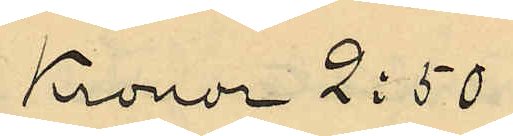Kronor 2:50
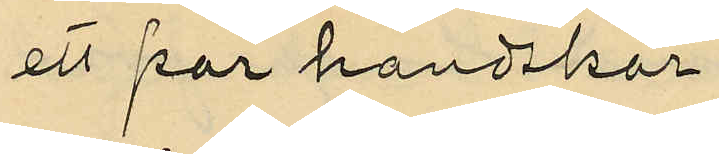ett par handskar
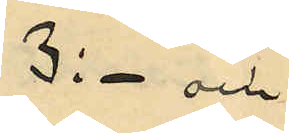3:- och
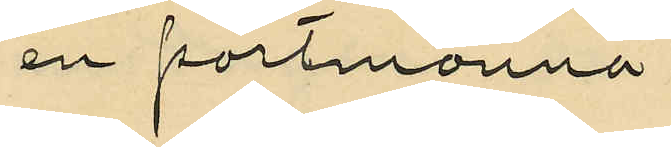en portmonnä
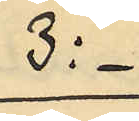3:-
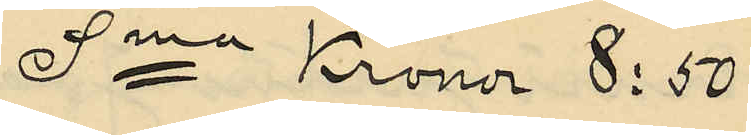Sma Kronor 8:50
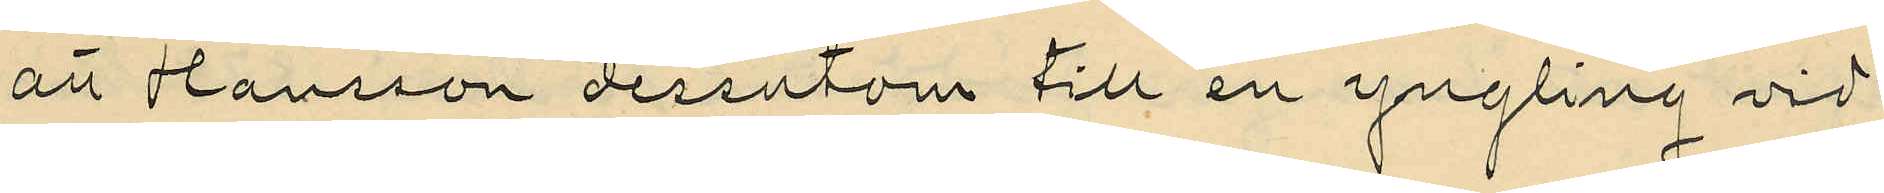att Hansson dessutom till en yngling vid
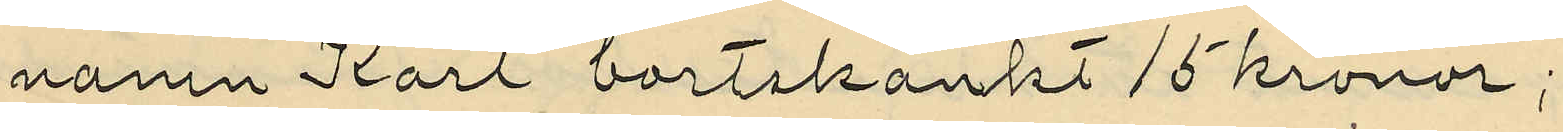namn Karl bortskänkt 15 kronor;
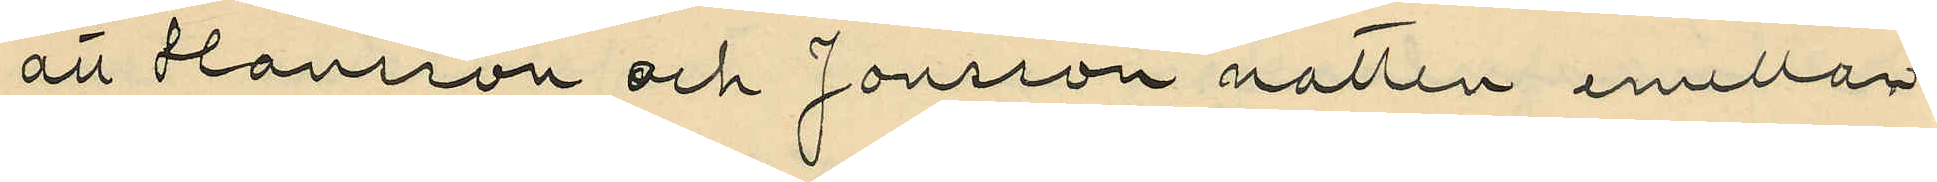att Hansson och Jonsson natten emellan
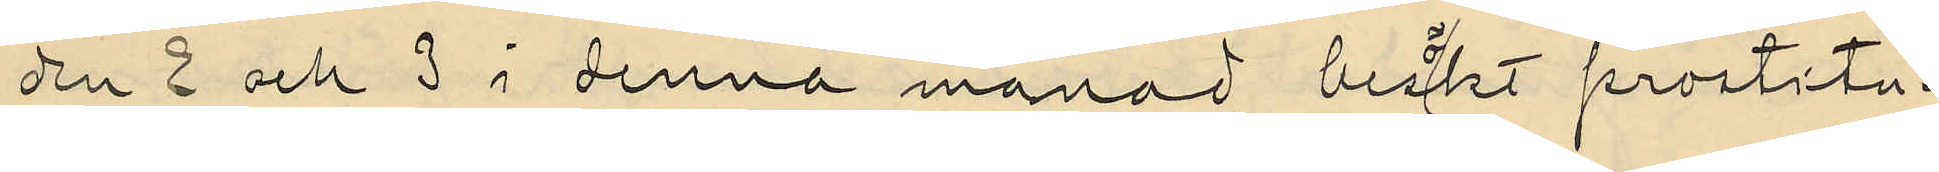den 2 och 3 i denna månad besökt prostitu¬
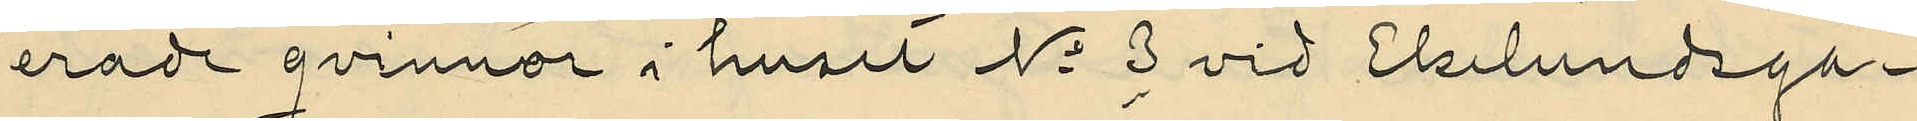erade qvinnor i huset No 3 vid Ekelundsga¬
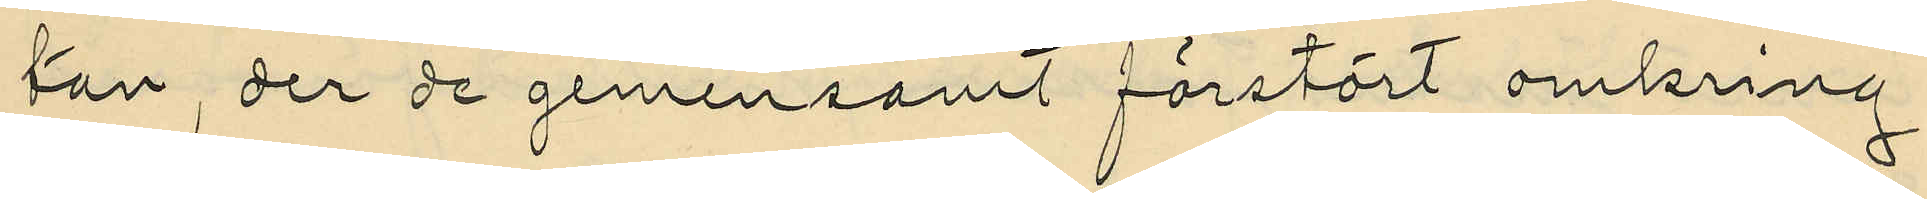tan, der de gemensamt förstört omkring
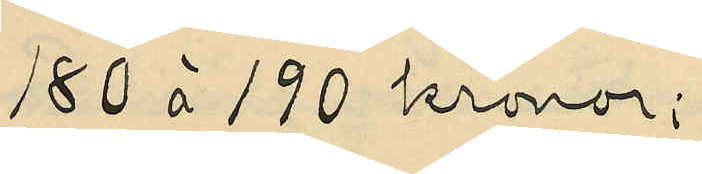180 à 190 kronor;
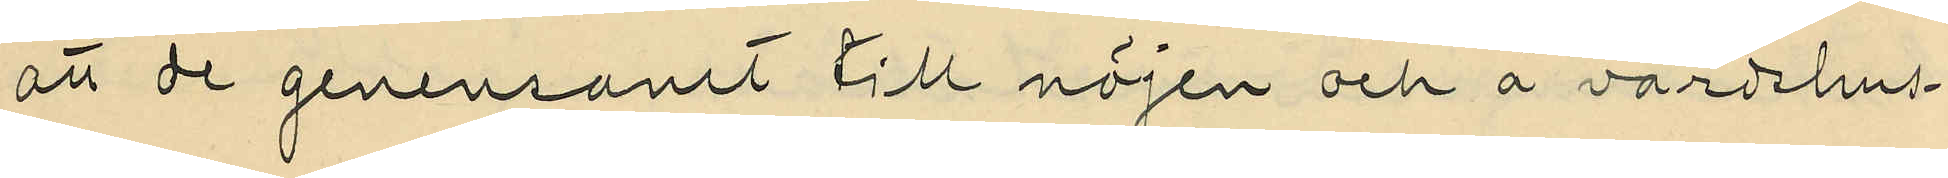att de gemensant till nöjen och å värdshus¬
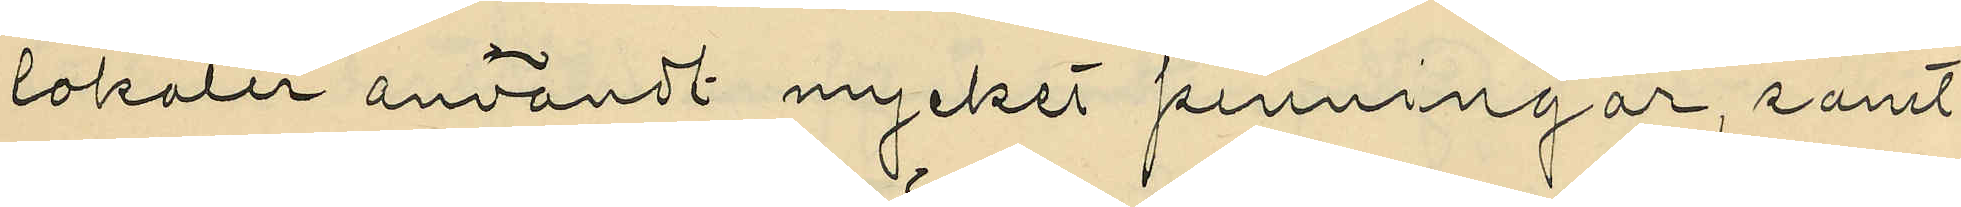lokaler användt mycket penningar, samt
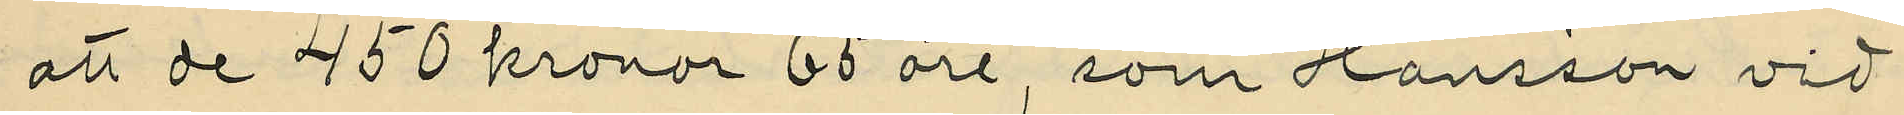att de 450 kronor 65 öre, som Hansson vid
